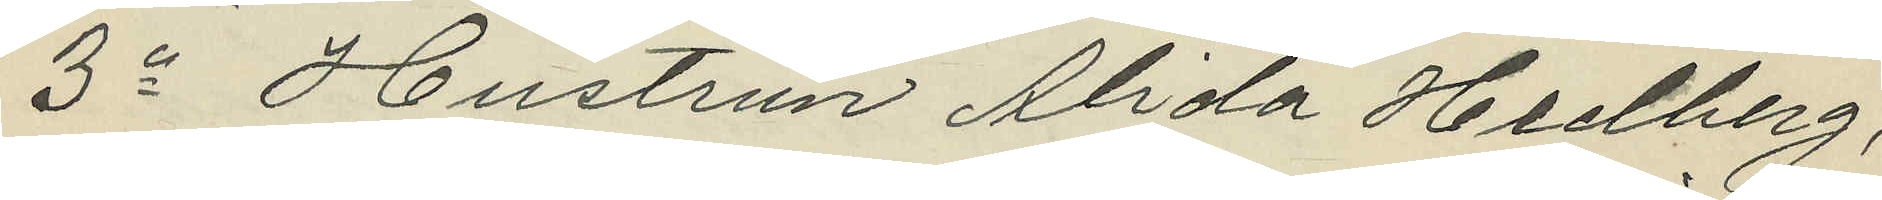3o Hustrun Alida Hedberg,
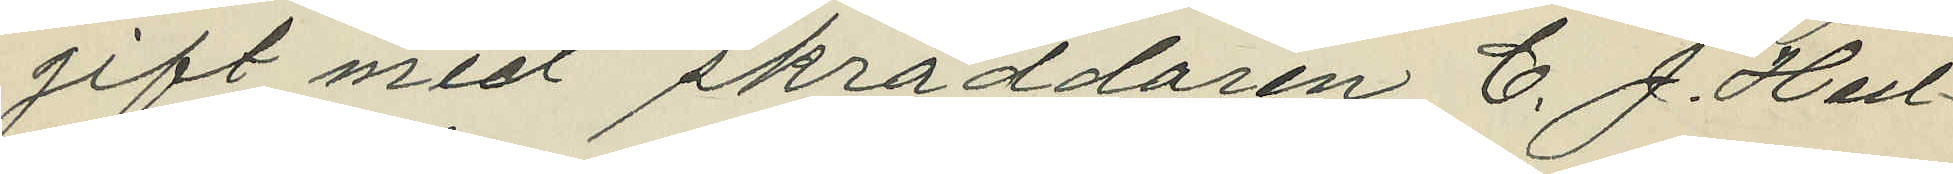gift med skräddaren C. J. Hed¬
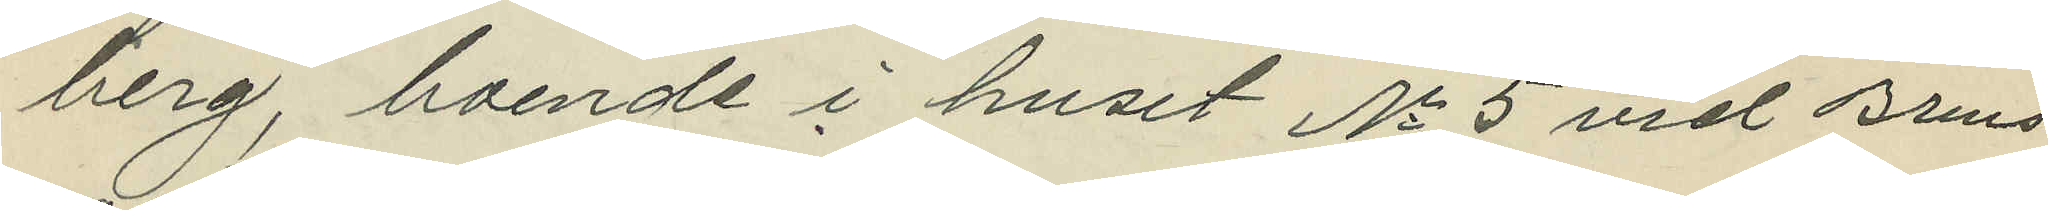berg, boende i huset No 5 vid Brms¬
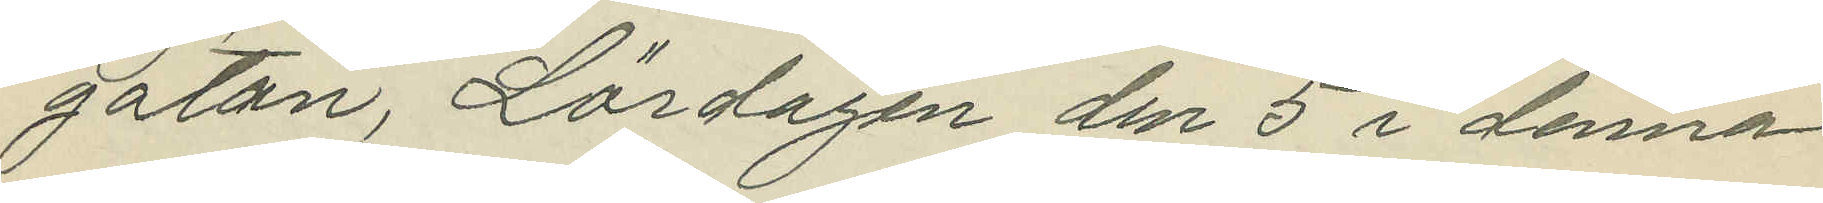gatan, Lördagen den 5 i denna
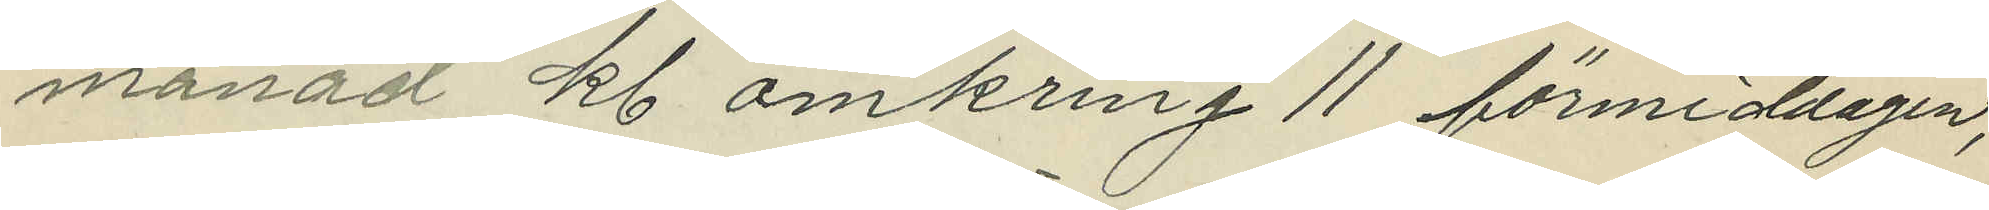månad kl. omkring 11 förmiddagen,
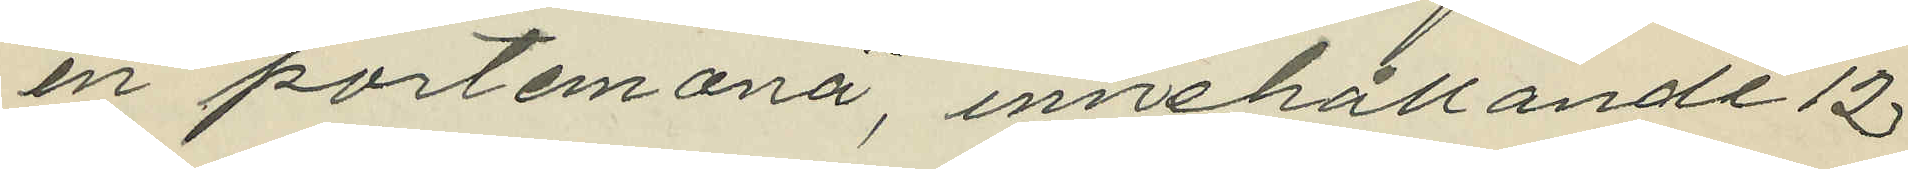en portemonä, innehållande 12
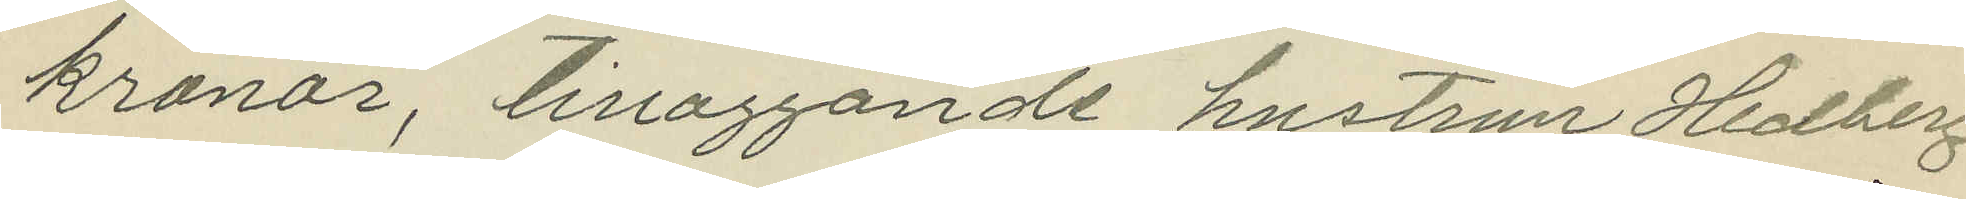kronor, tillaggande hustrun Hedberg
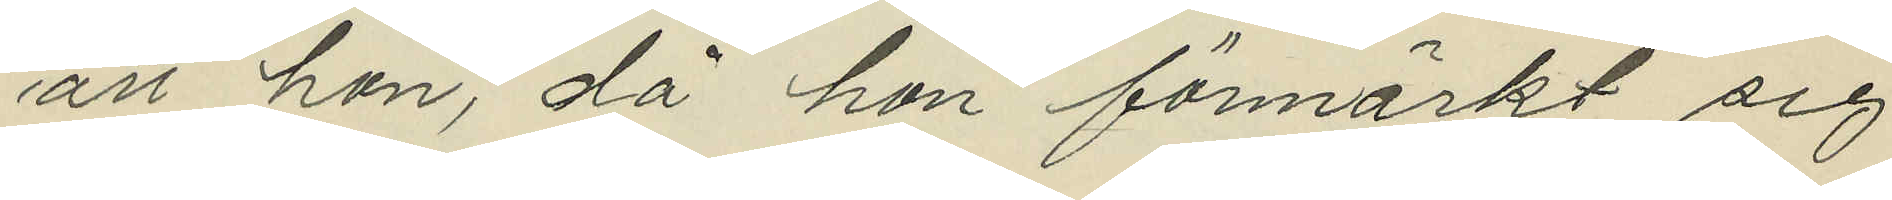att hon, då hon förmärkt sig
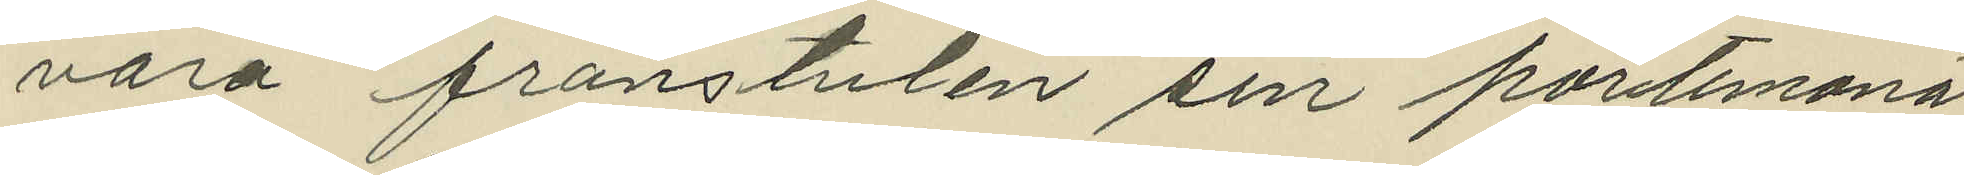vara frånstulen sin portemonä
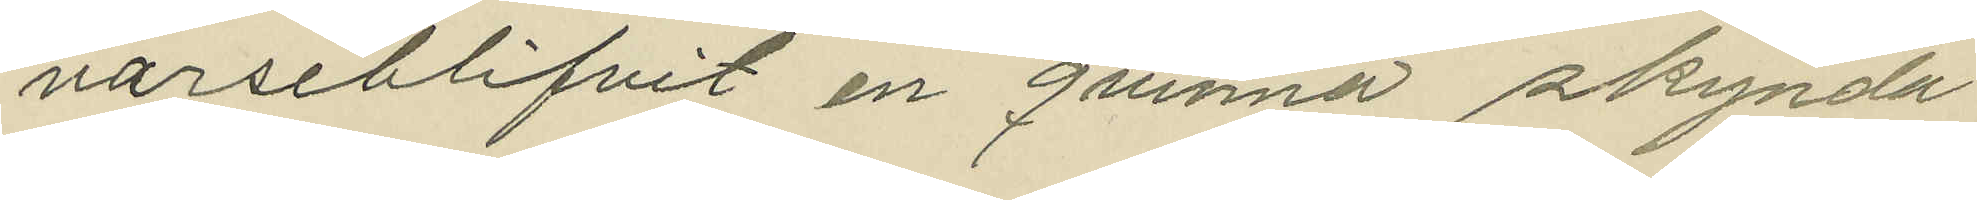varseblifvit en qvinna skynda
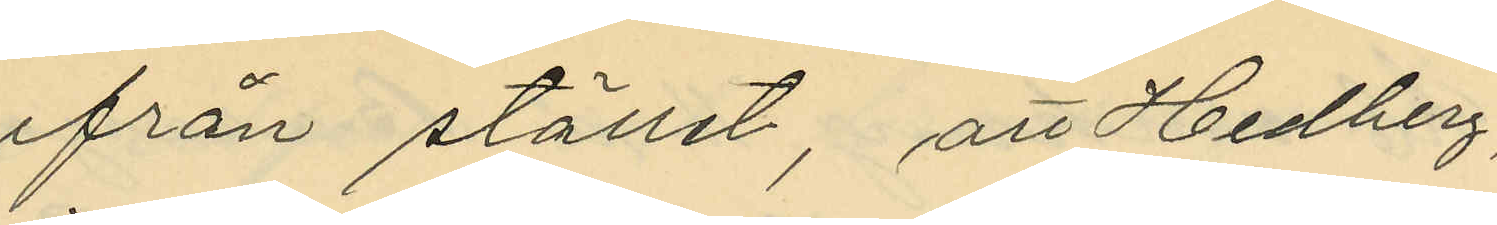ifrån stället, att Hedberg,
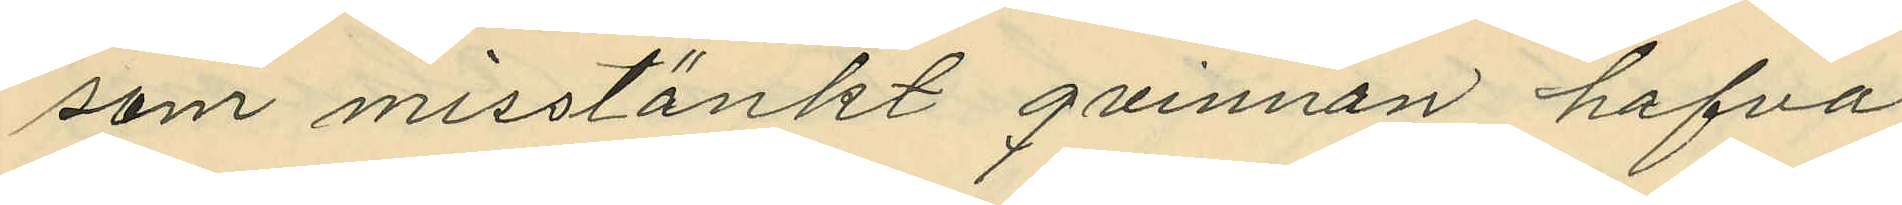som misstänkt qvinnan hafva
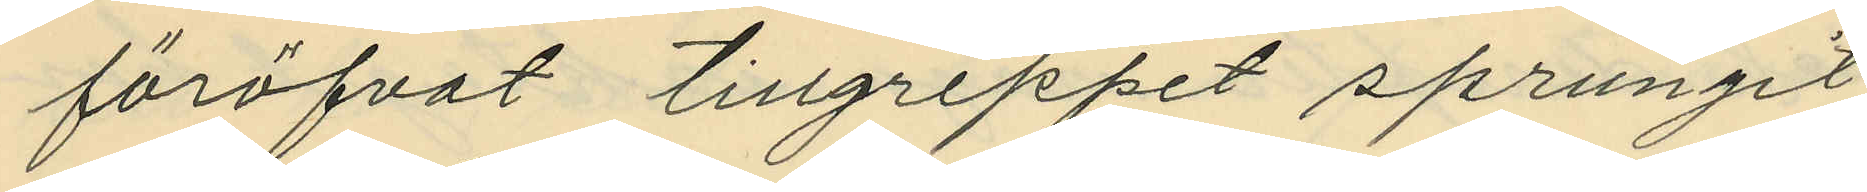föröfvat tillgreppet sprungit
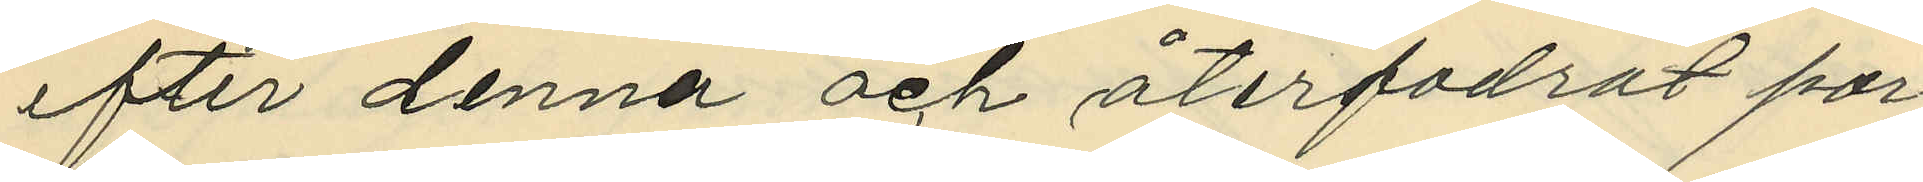efter denna och återfodrat por¬
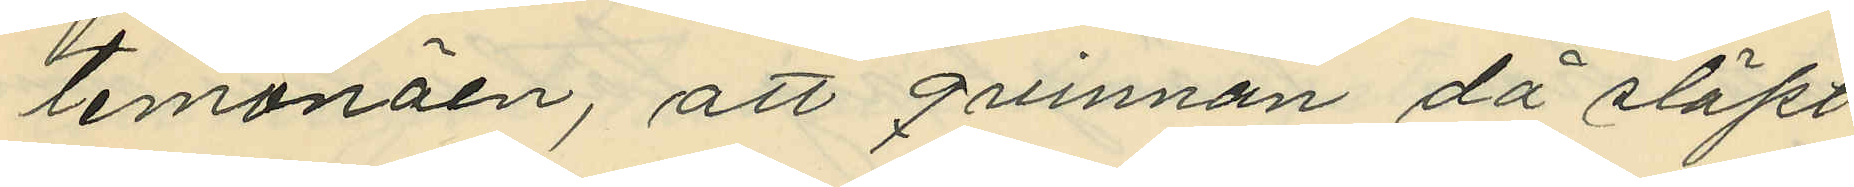temonäen, att qvinnan då släpt
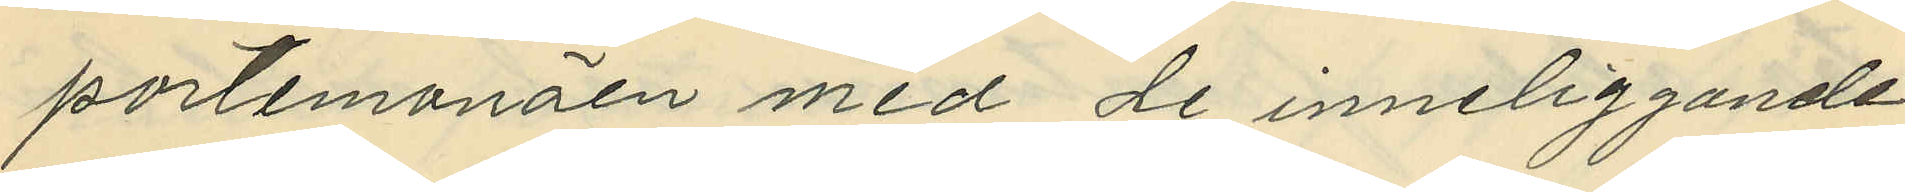portemonäen med de inneliggande
